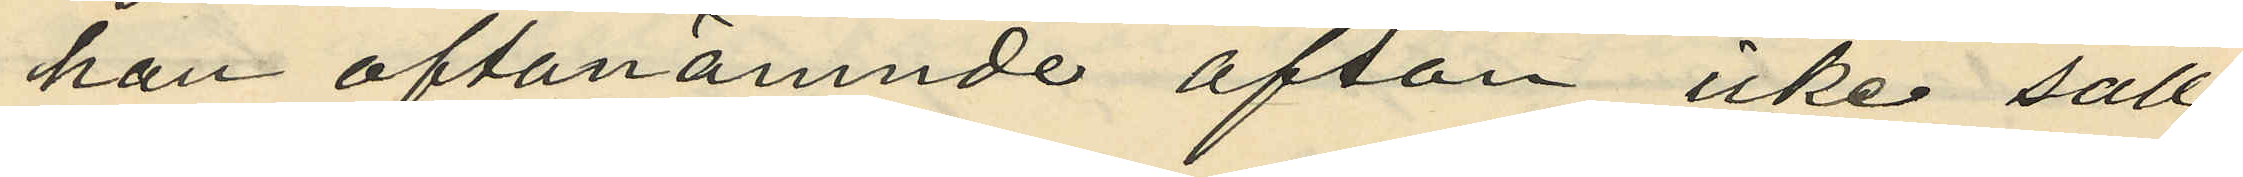han oftanämnde afton icke säll¬
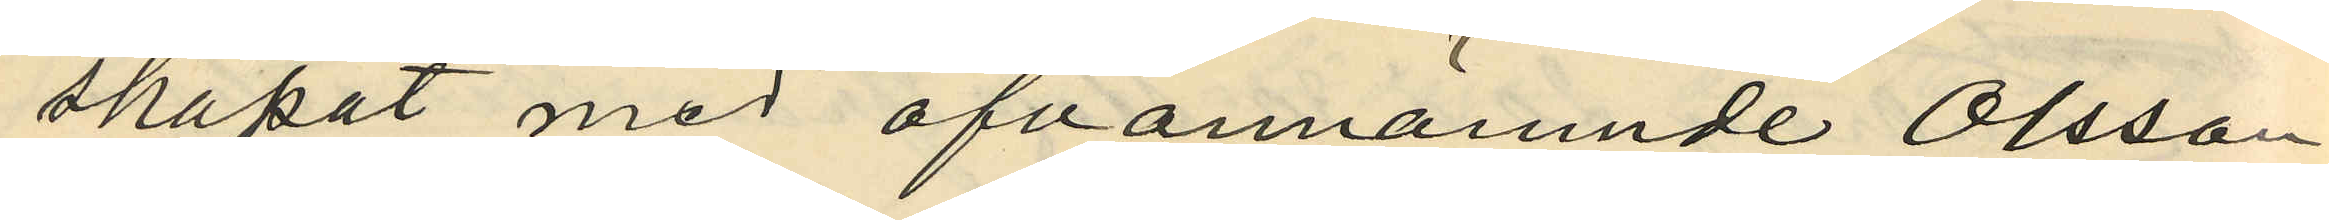skapat med ofvannämnde Olsson
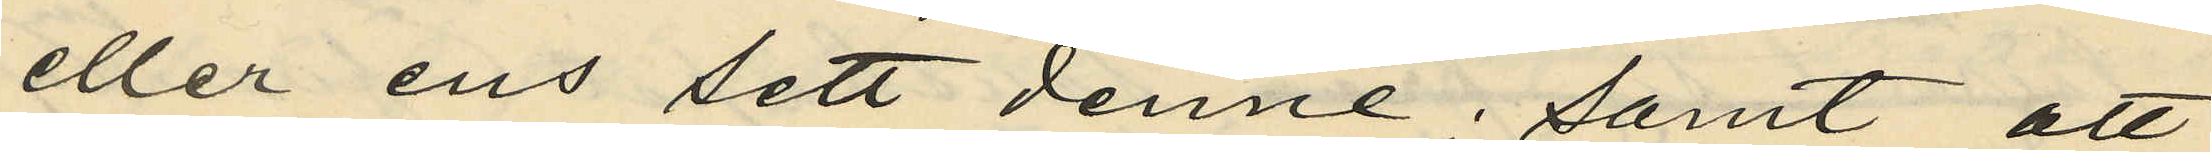eller ens sett denne; samt att
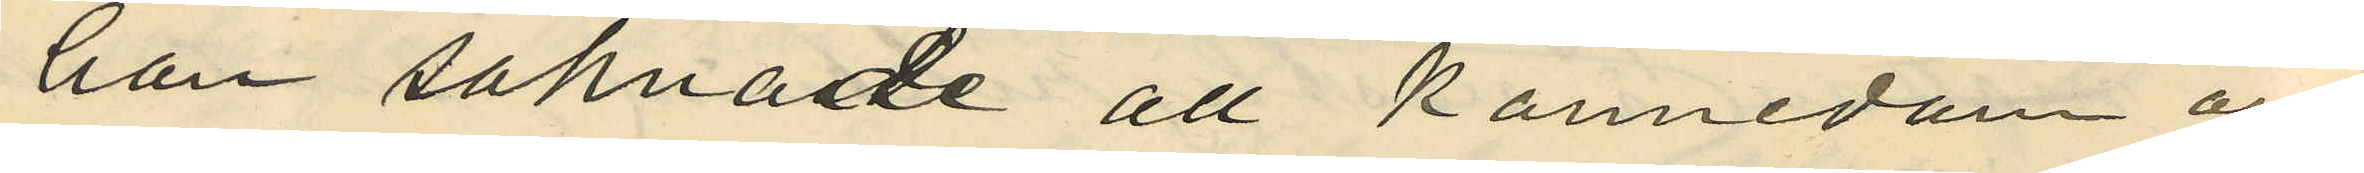han saknade all kännedom om
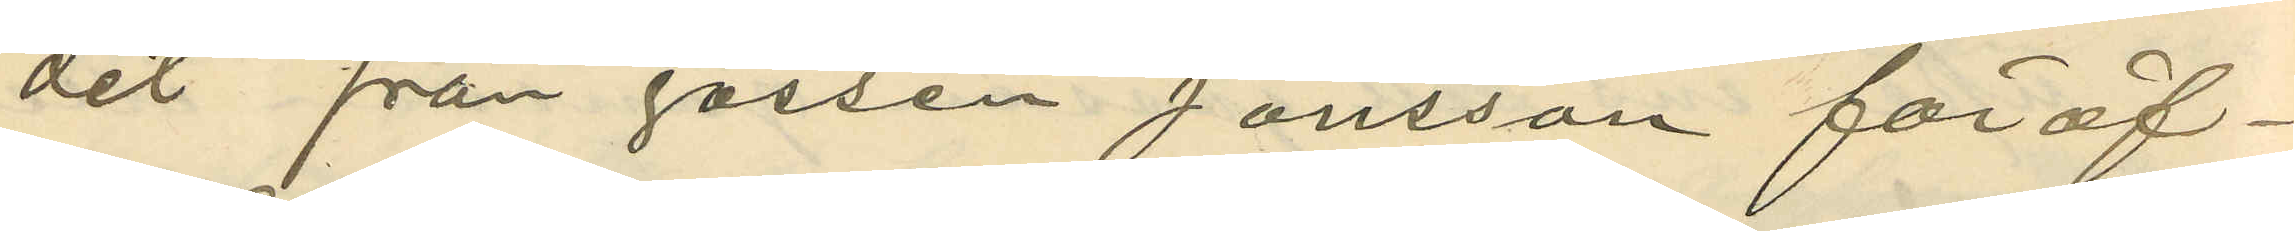det från gossen Jonsson föröf¬
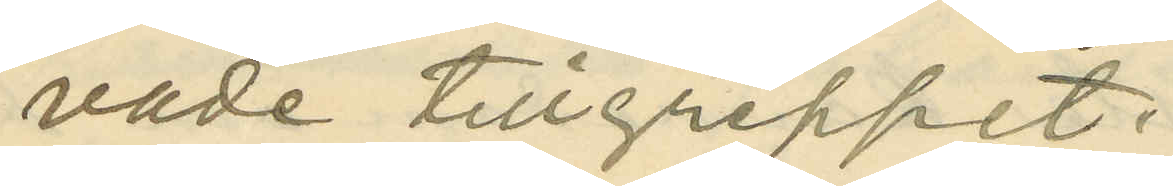vade tillgreppet.
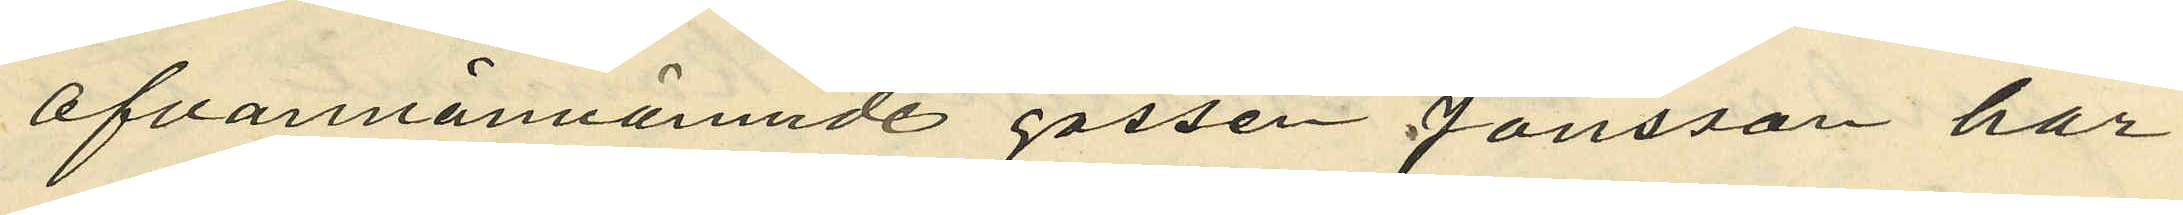ofvannämnde gossen Jonsson har
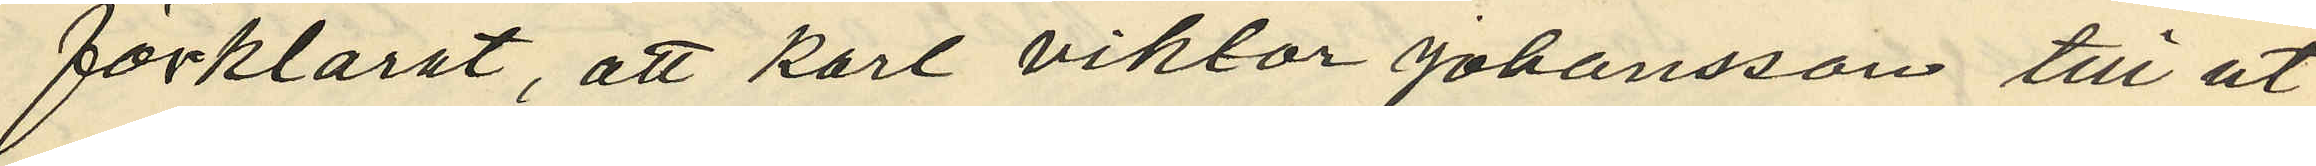förklarat, att Karl Viktor Johansson till ut¬
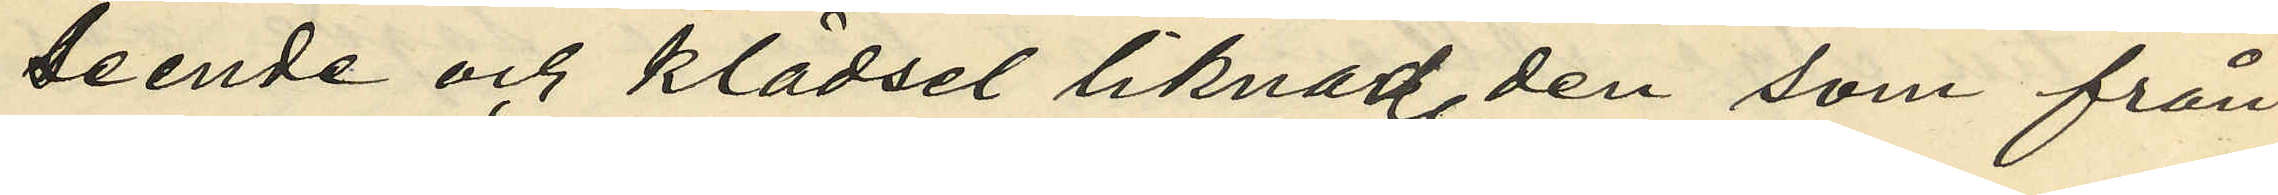seende och klädsel liknade den som från
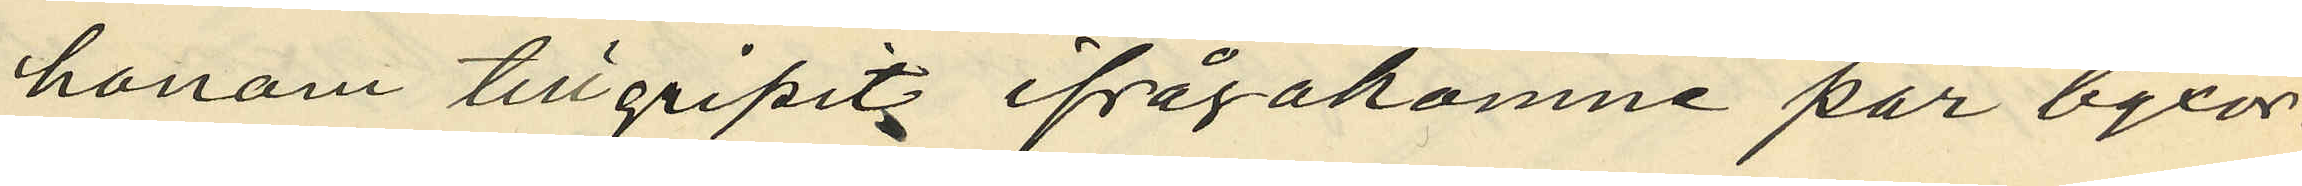honom tillgripits ifrågakomne par byxor.
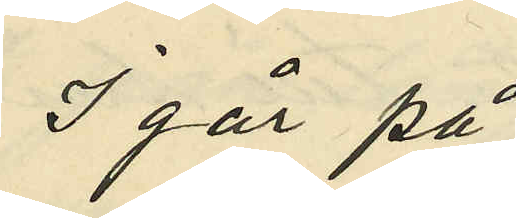I går på
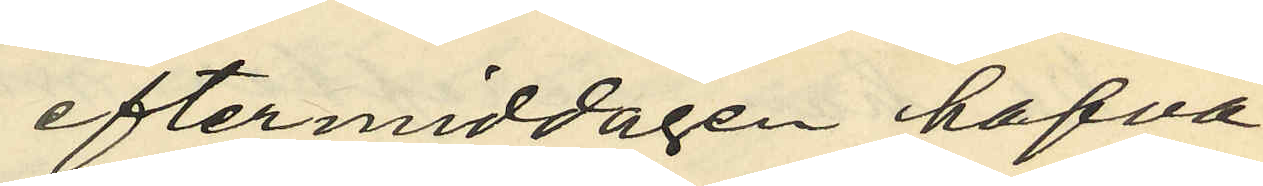eftermiddagen hafva
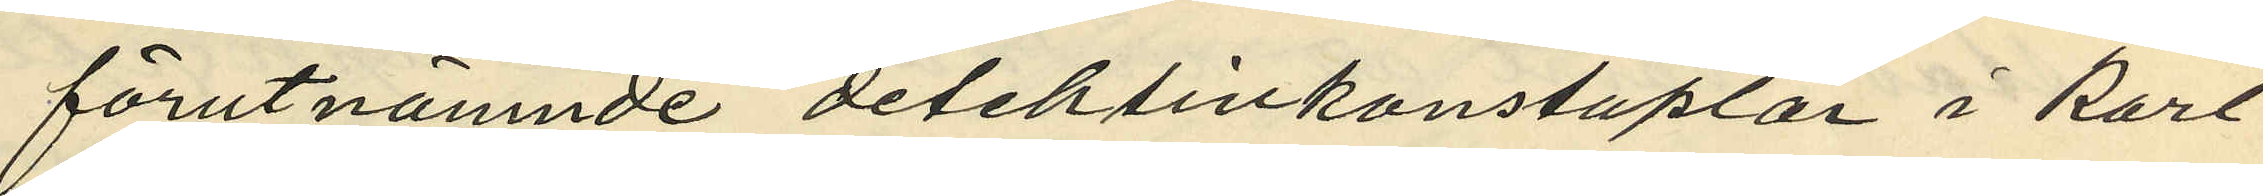förutnämnde detektivkonstaplar i Karl
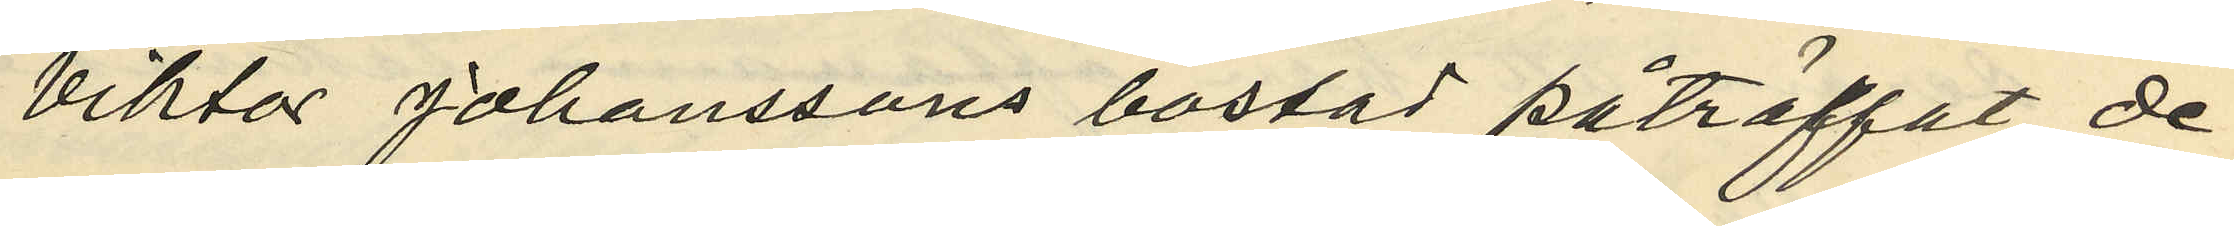Viktor Johanssons bostad påträffat de
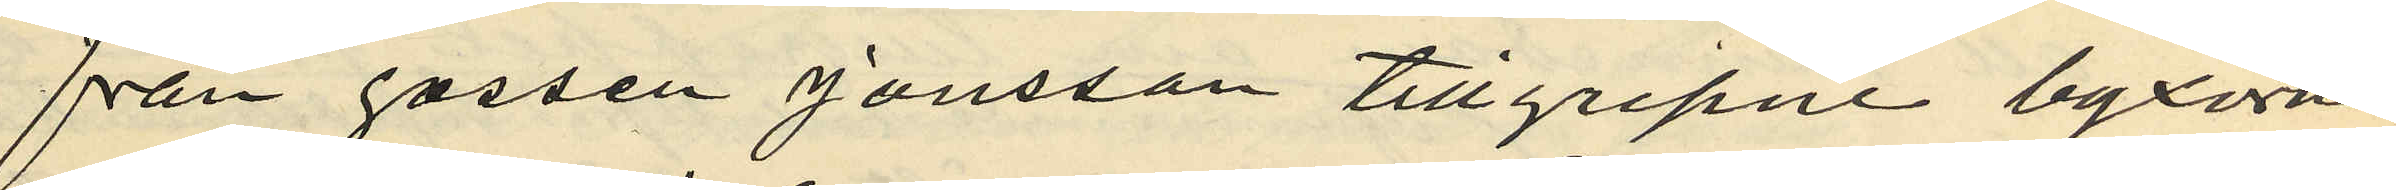från gossen Jonsson tillgripne byxorna
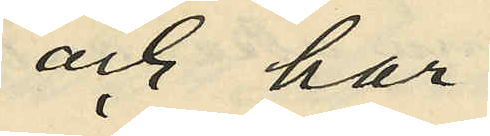och har
